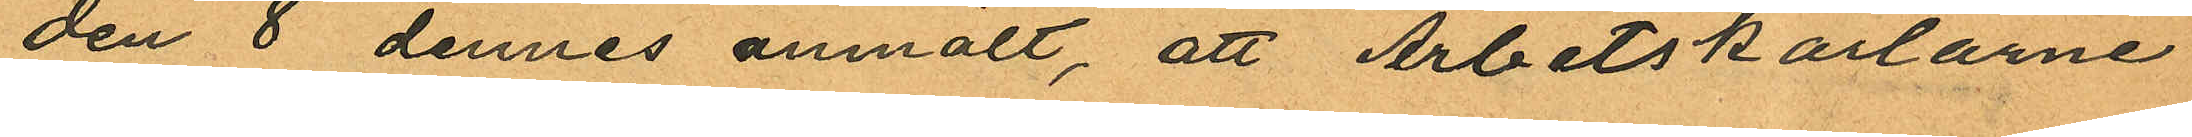den 8 dennes anmält, att Arbetskarlarne
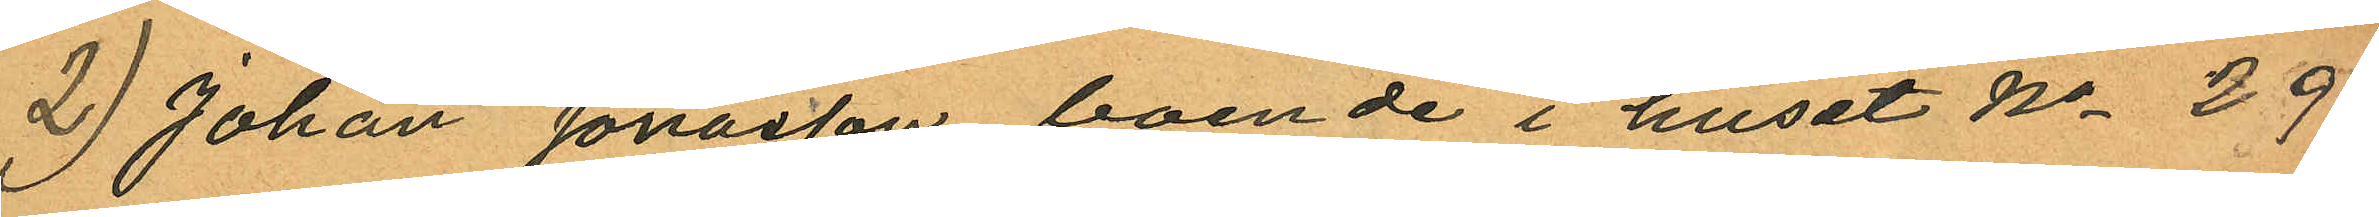2) Johan Jonasson boende i huset No 29
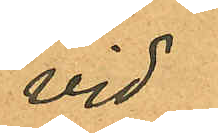vid
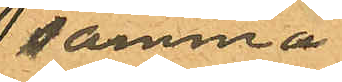samma
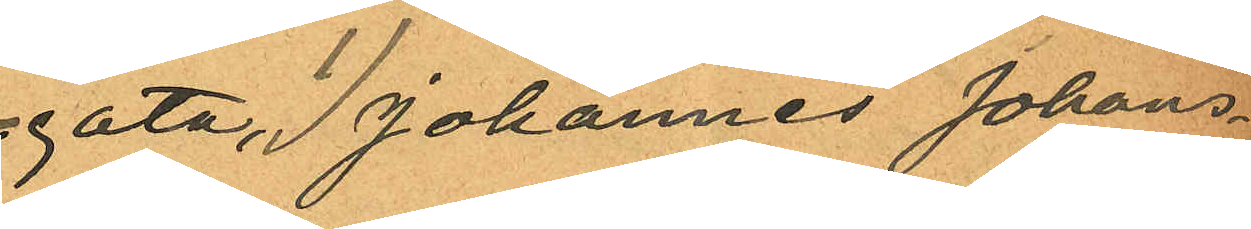gata, I Johannes Johans¬
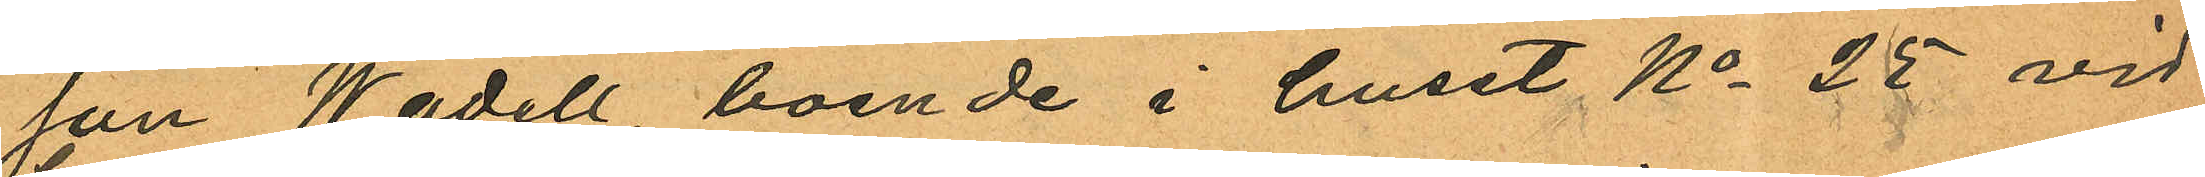son Wadell, boende i huset No 25 vid
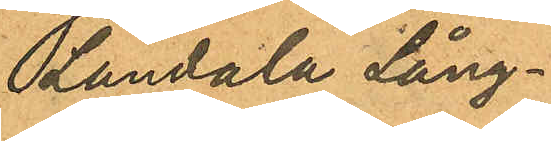Landala Lång¬
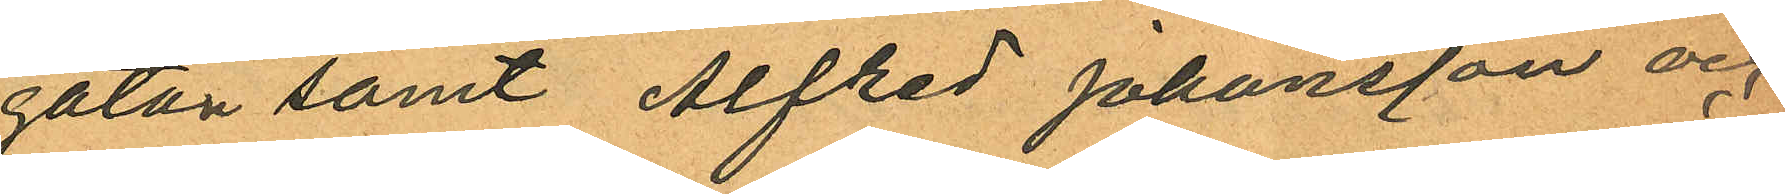gatan samt Alfred Johansson och
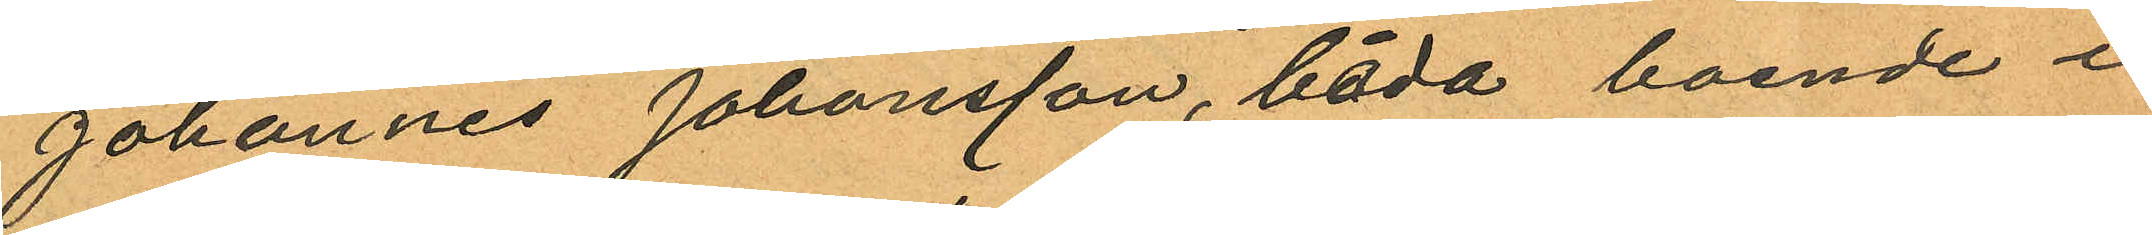Johannes Johansson, båda boende i
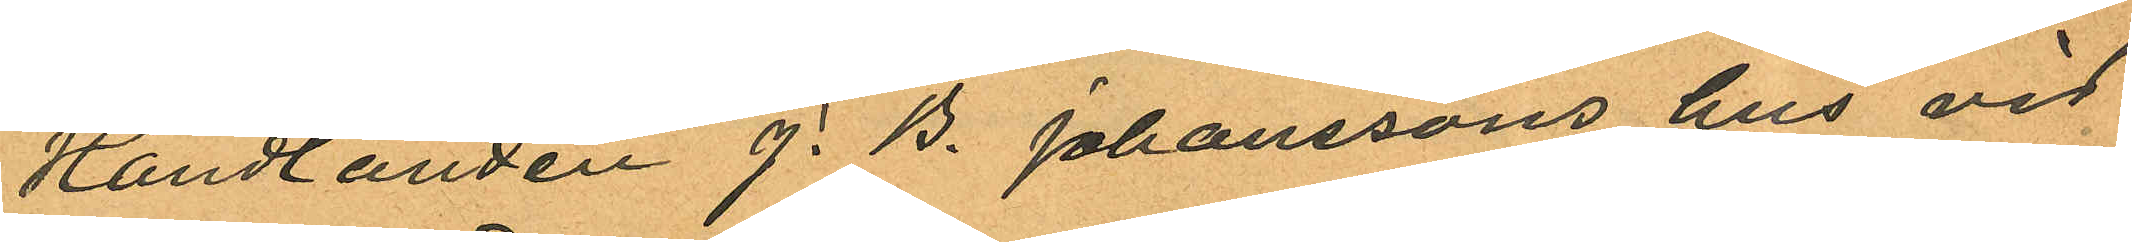Handlanden J. B. Johanssons hus vid
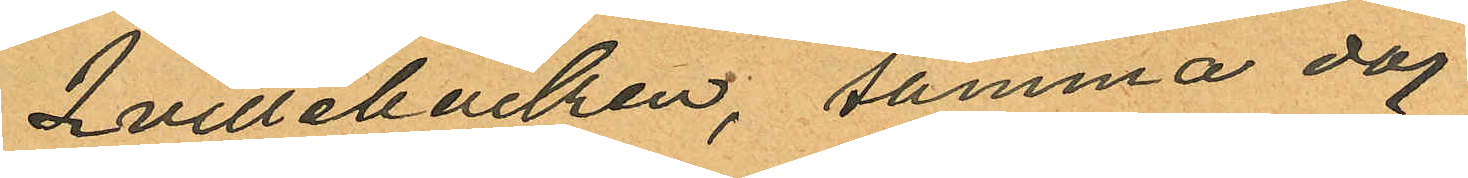Qvillebäcken, samma dag
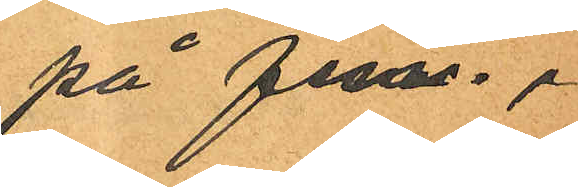på f m.
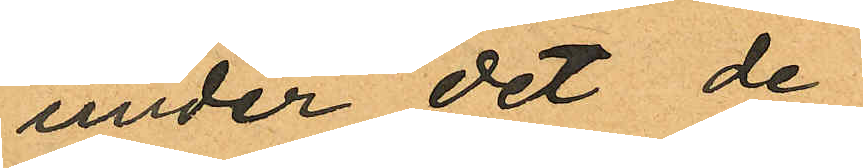under det de
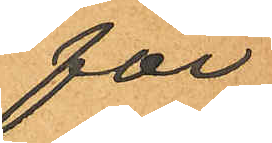för
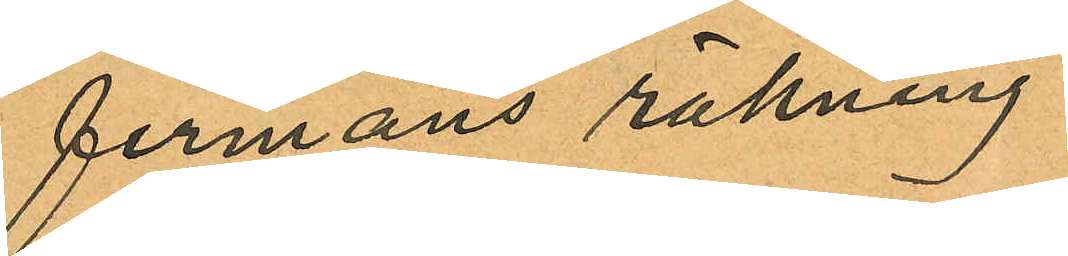firmans räkning
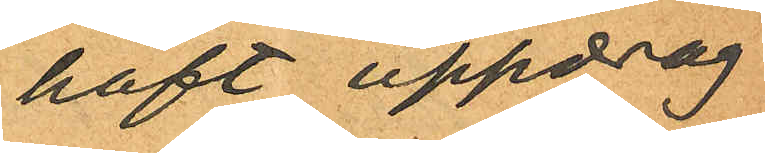haft uppdrag
